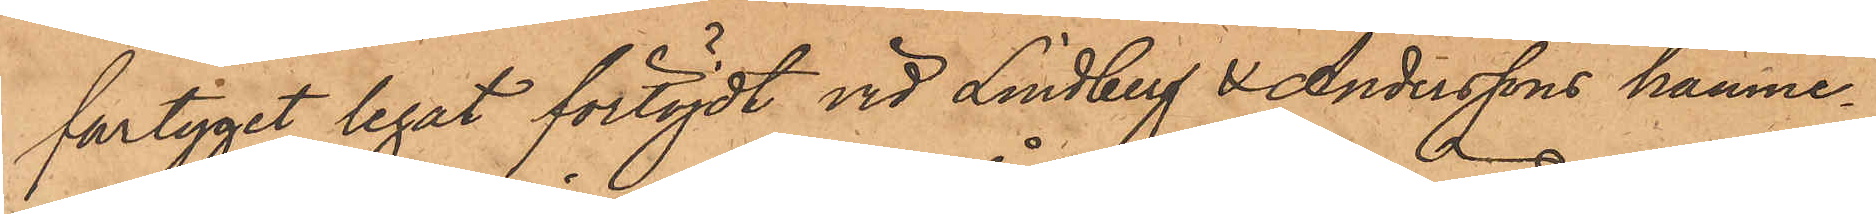fartyget legat förtöjdt vid Lindberg i Anderssons hamne¬
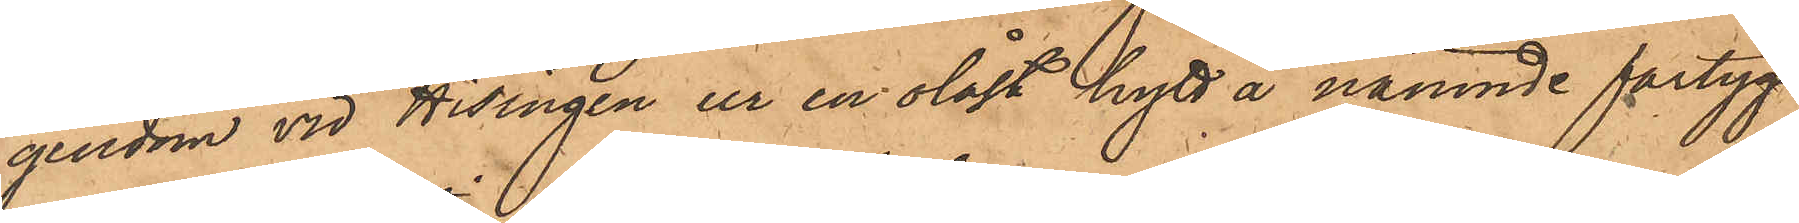gendom vid Hisingen ur en olåst hytt å nämnde fartyg
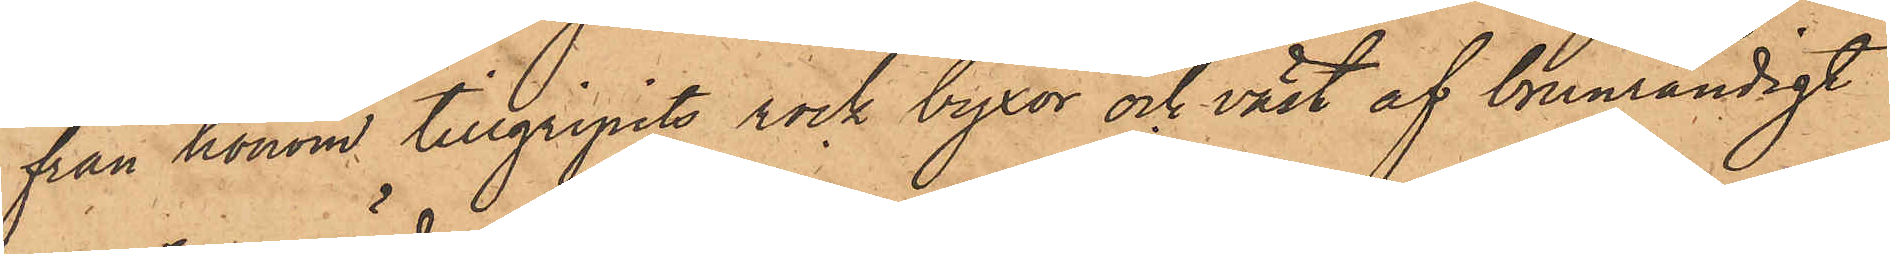från honom tillgripits rock byxor och väst af brunrandigt
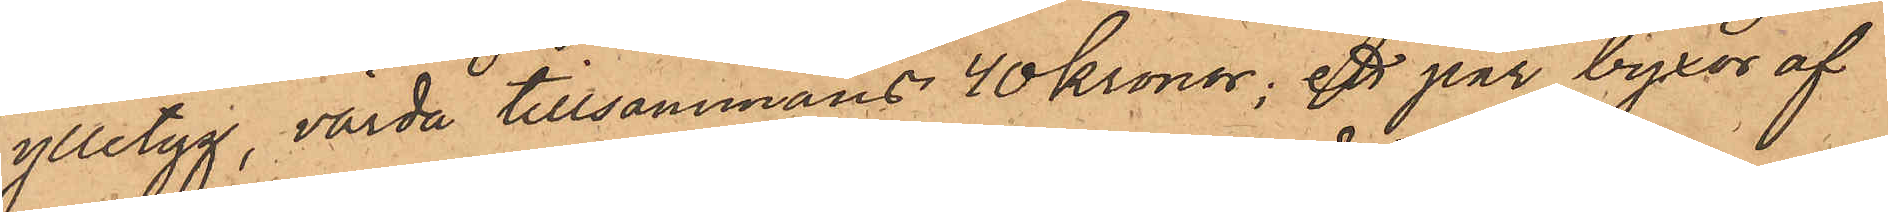ylletyg, värda tillsammans 40 Kronor, ett par byxor af
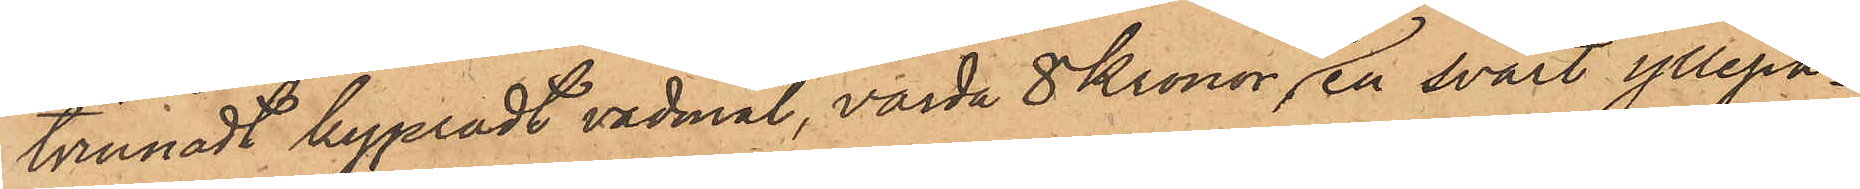tvinnadt kypradt vadmal, värda 8 Kronor, en svart yllepa¬
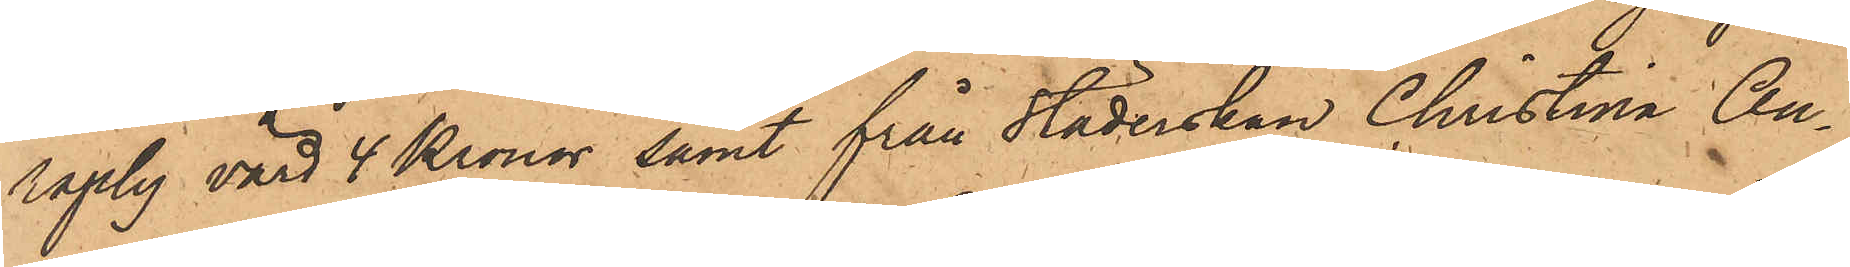raply värd 4 Kronor samt från städerskan Christina An¬
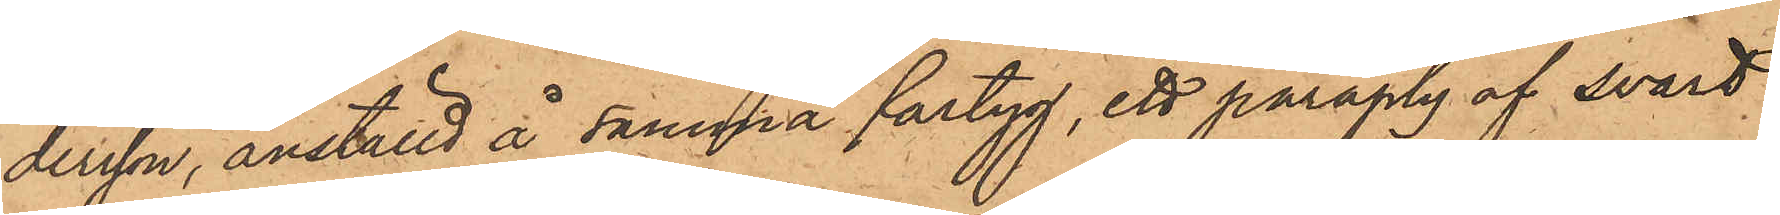dersson, anställd å samma fartyg, ett paraply af svart
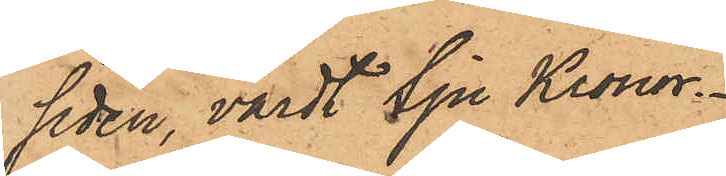siden, värdt Sju Kronor.
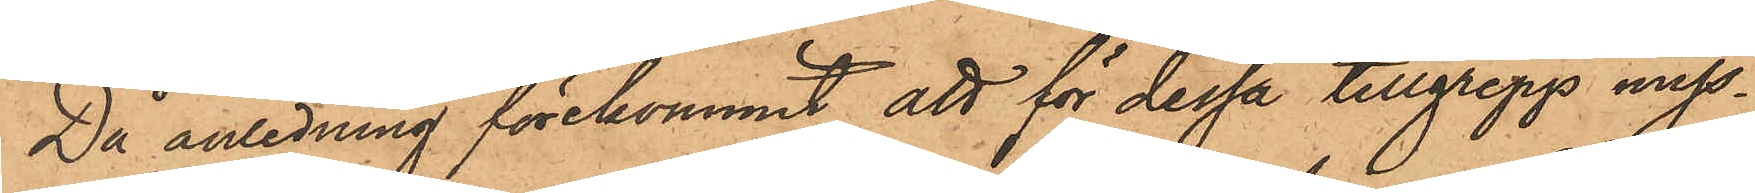Då anledning förekommit att för dessa tillgrepp miss¬
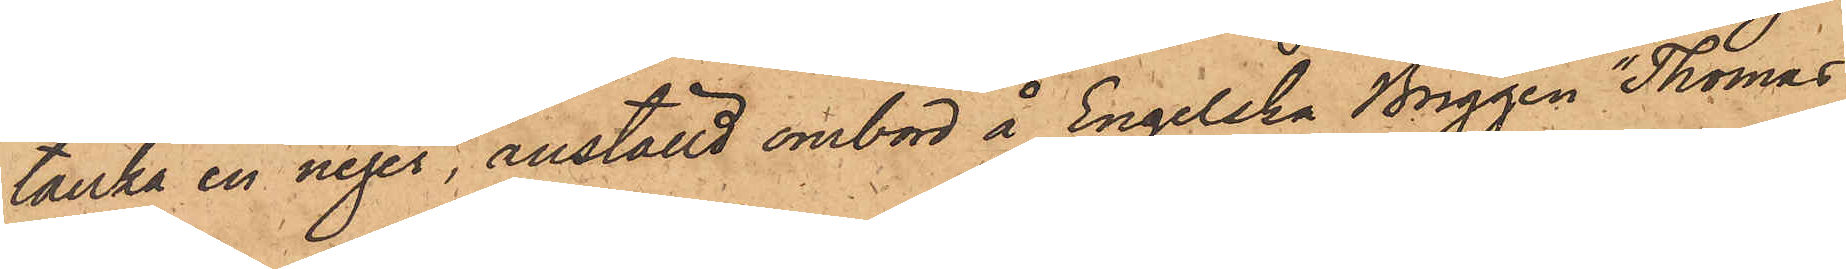tänka en neger, anställd ombord å Engelska Briggen "Thomas
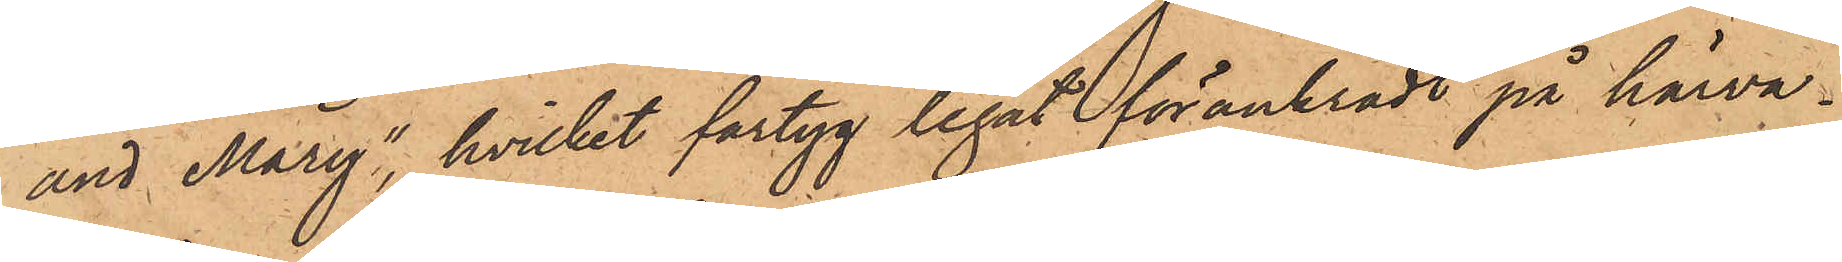and Mary", hvilket fartyg legat förankradt på härva¬
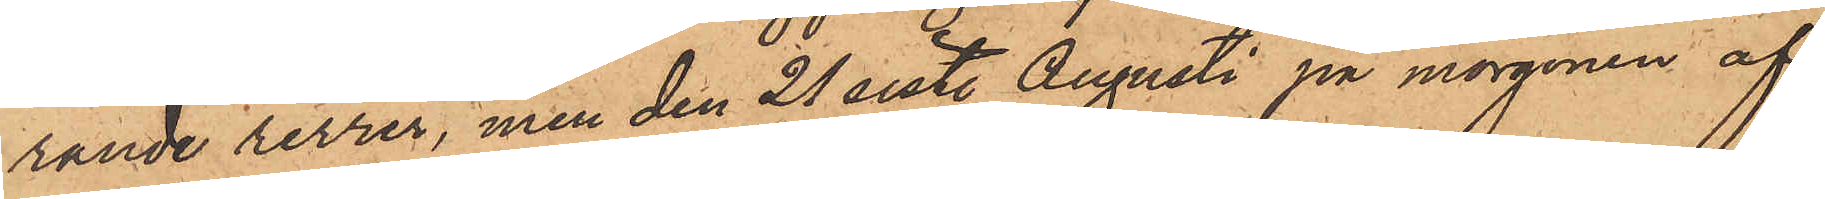rande revier, men den 21 sist. Augusti på morgonen af¬
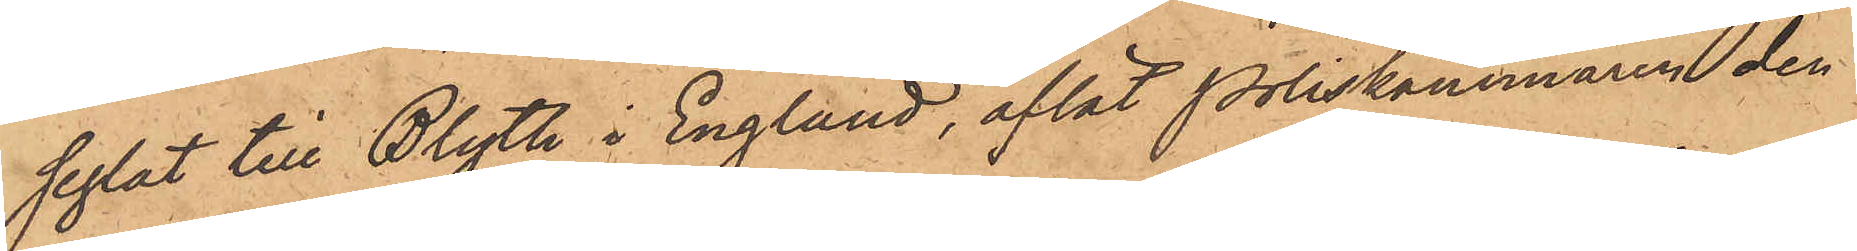seglat till Blyth i England, aflät Poliskammaren den
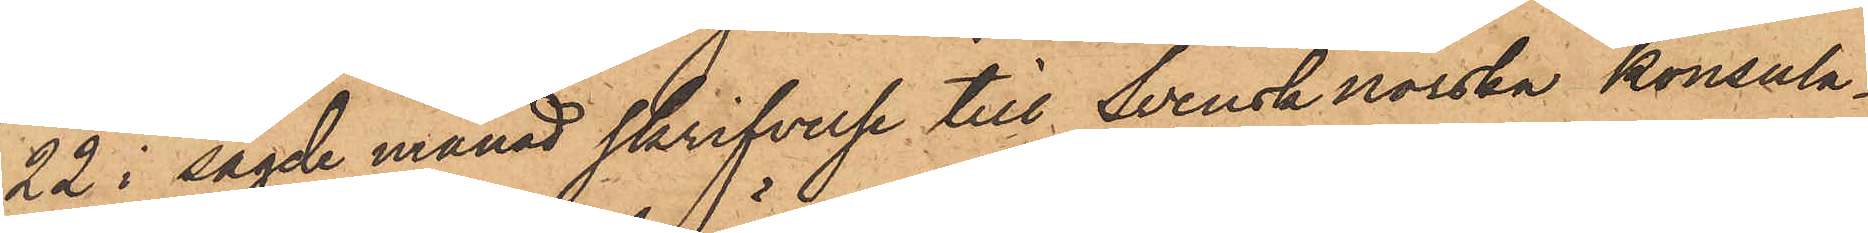22 i sagde månad skrifvelse till Svensknorska konsula¬
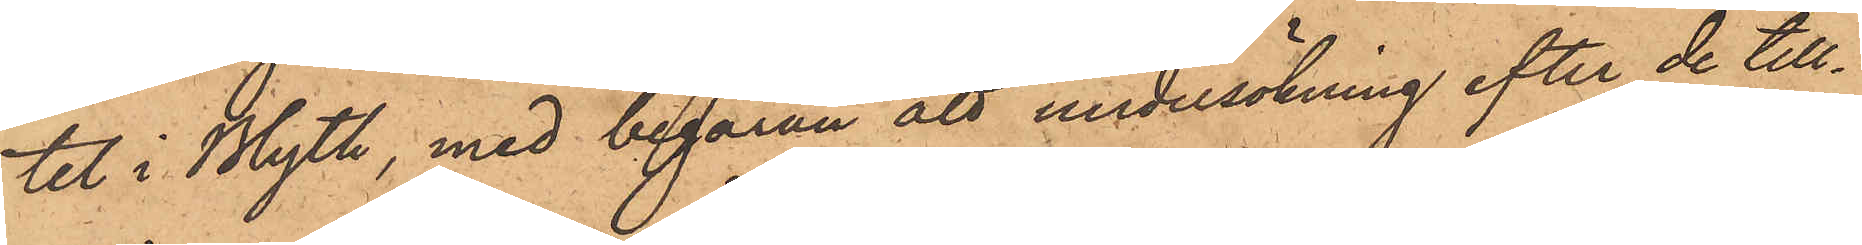tet i Blyth, med begäran att undersökning efter de till¬
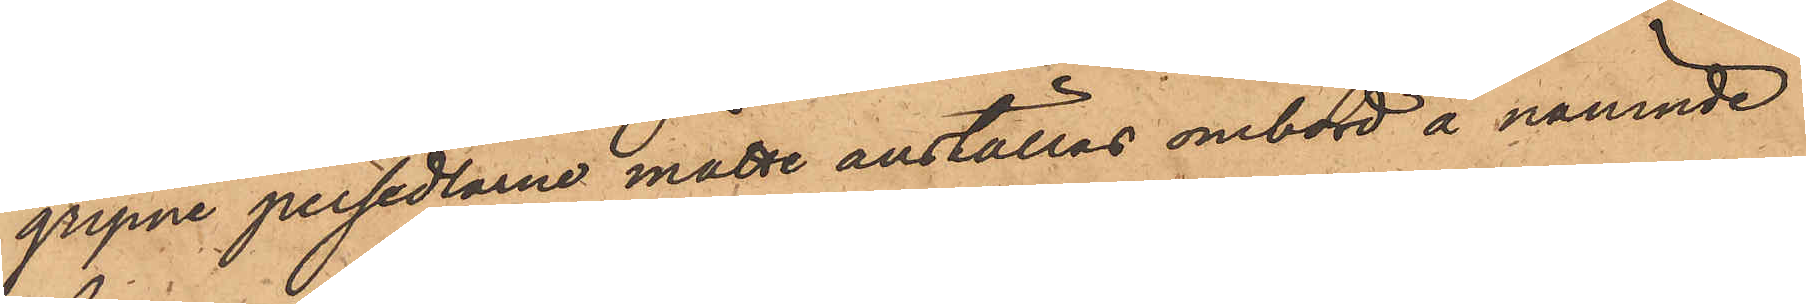gripne persedlarne måtte anställas ombord å nämnde
